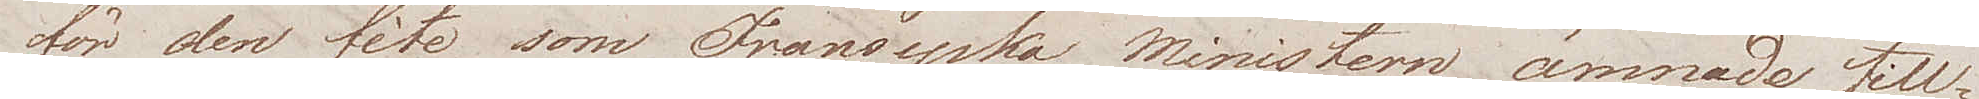för den fête som Fransyska Ministern ämnade till¬
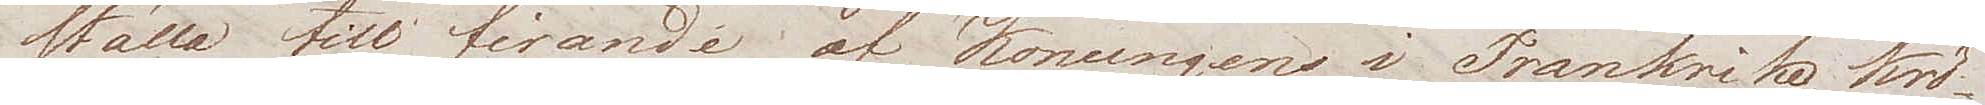ställa till firande af Konungens i Frankrike, krö¬
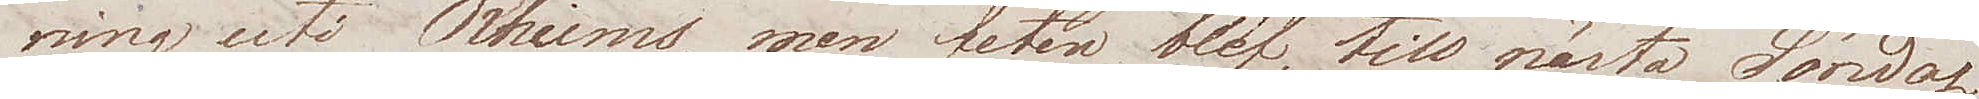ning uti Rheims, men fêten blef till nästa Söndag
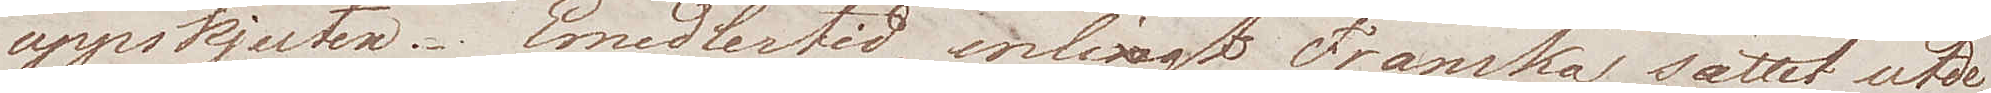uppskjuten. Emedlertid, enligt Franska sättet utde¬
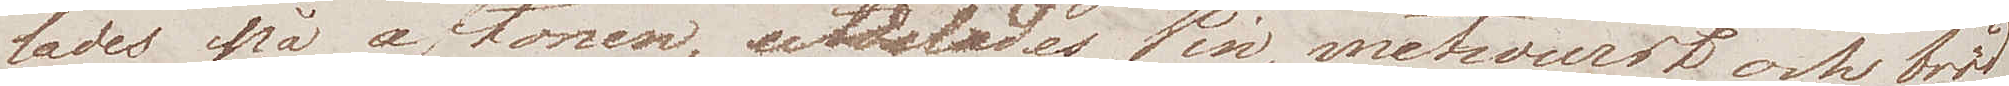lades på aftonen, utdelades Win, metwurst och bröd
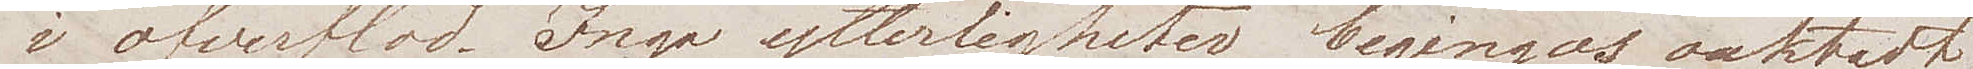i öfverflöd. Inga ytterligheter begingos oaktadt
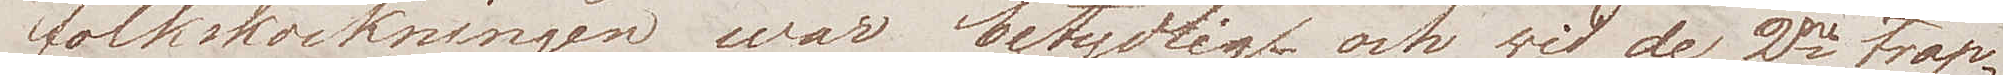folkskockningen war betydlig och vid de 2ne trap¬
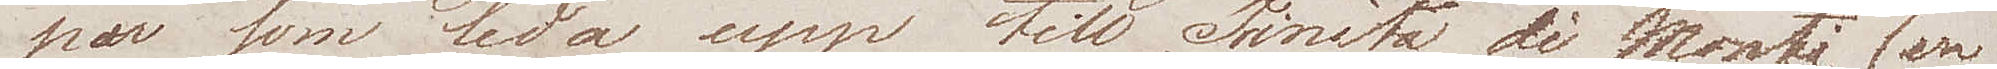por som leda upp till Trinità di Monti, (en
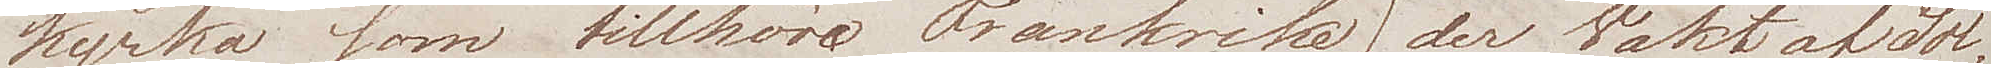kyrka som tillhör Frankrike) der Wakt af Sol¬
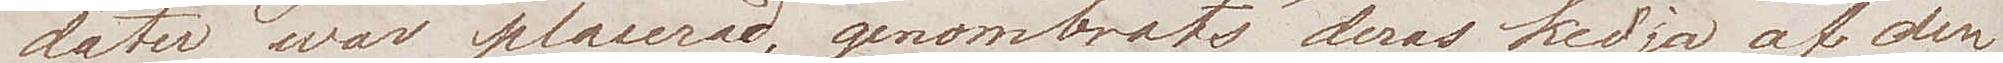dater war placerad, genombröts deras kedja af den
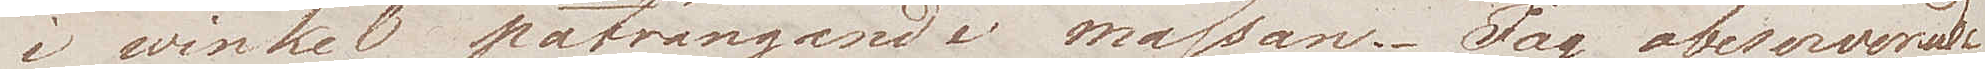i winkel påträngande massan. Jag observerade
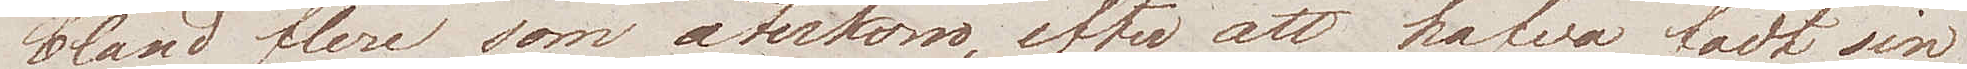bland flere som återkom, efter att hafva fådt sin
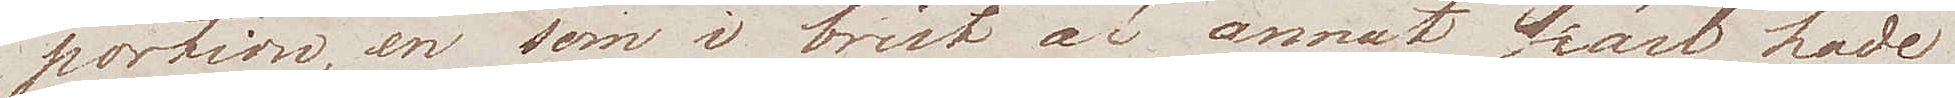portion, en som i brist af annat kärl hade
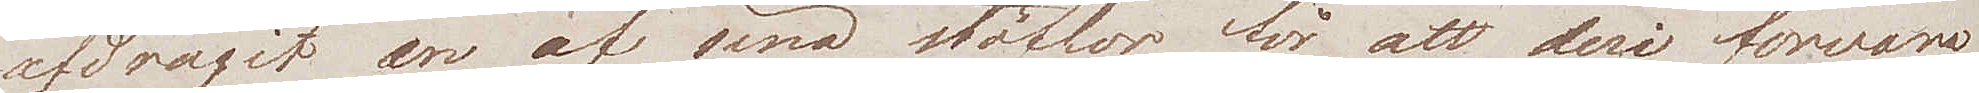afdragit en af sina stöflor, för att deri förwara
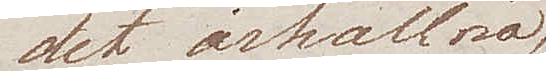det ärhållna
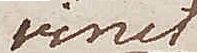vinet
